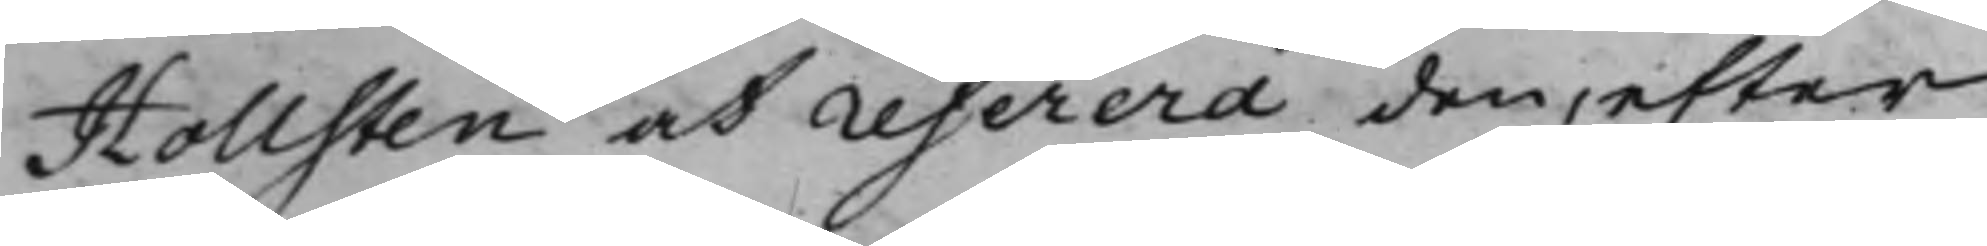Hollsten at referera den, efter
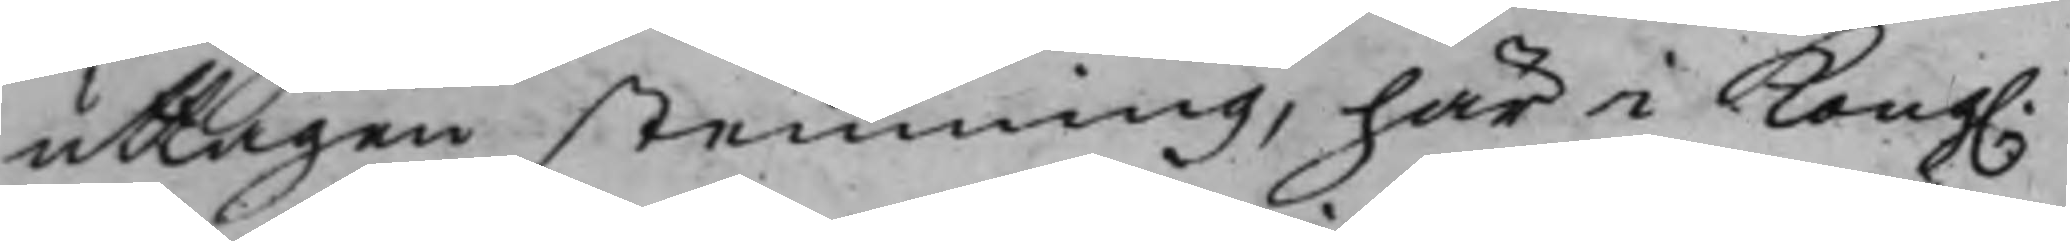uttagen stemning, här i Kong.
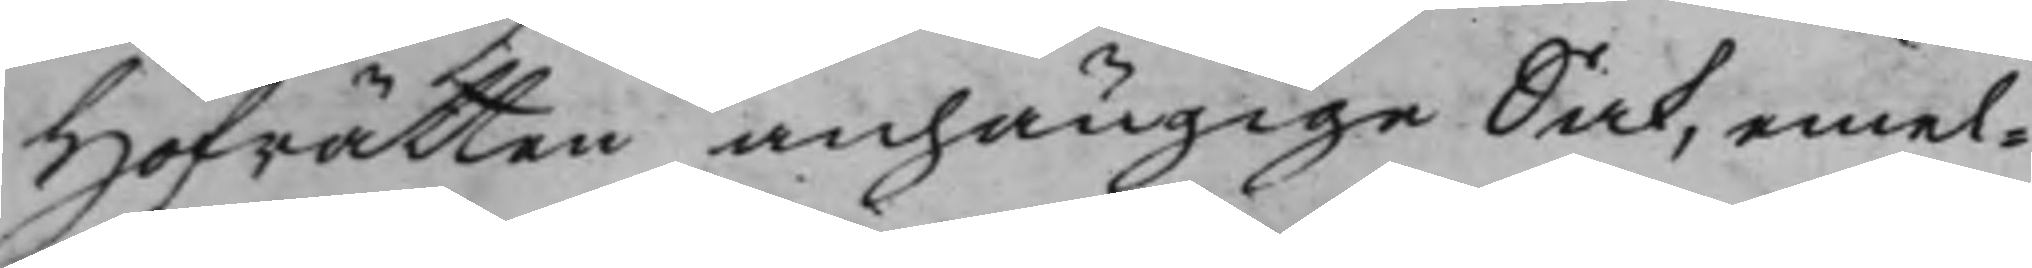Hofrätten anhängige Sak, emel¬
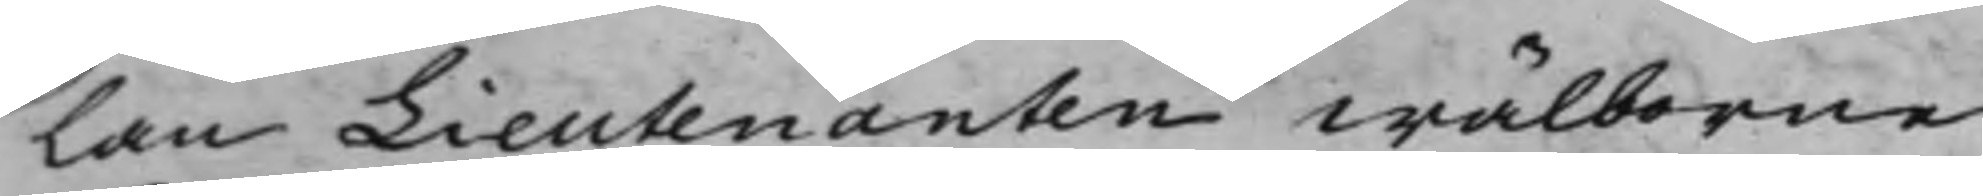lan Lieutenanten wälborne
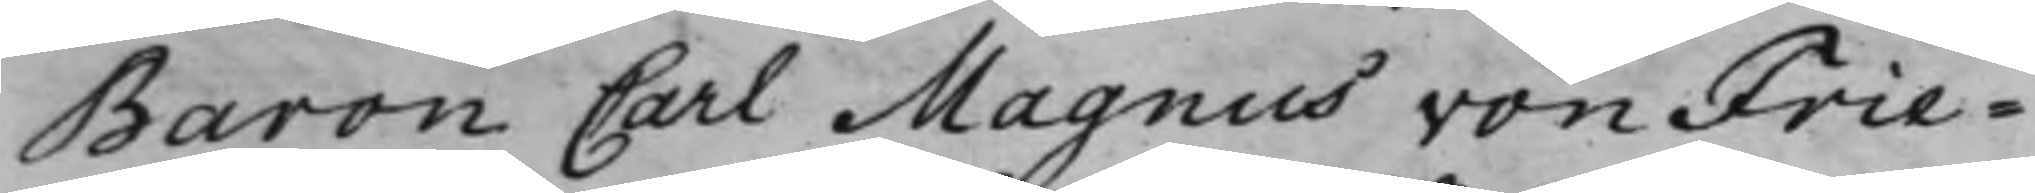Baron Carl Magnus von Frie¬
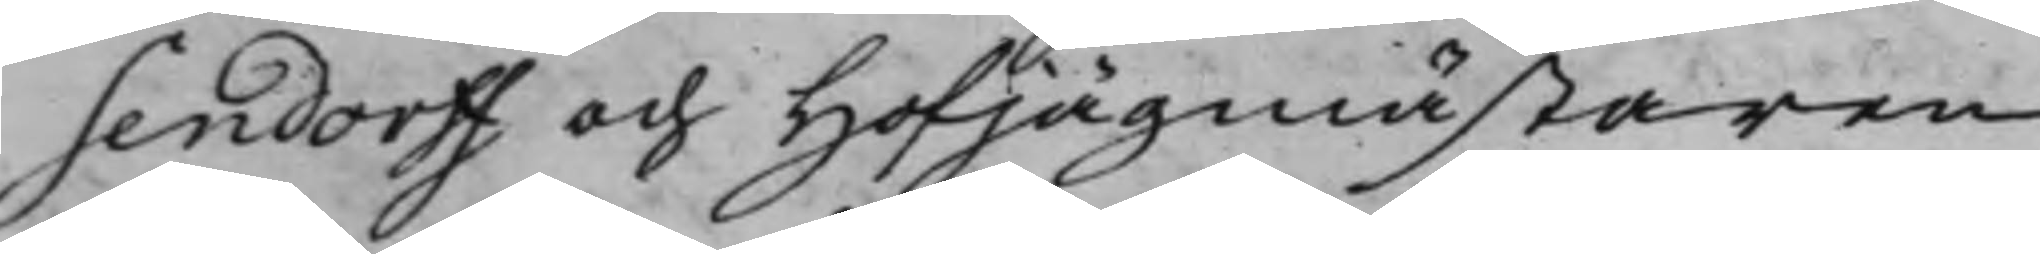sendorff och HofJägmästaren
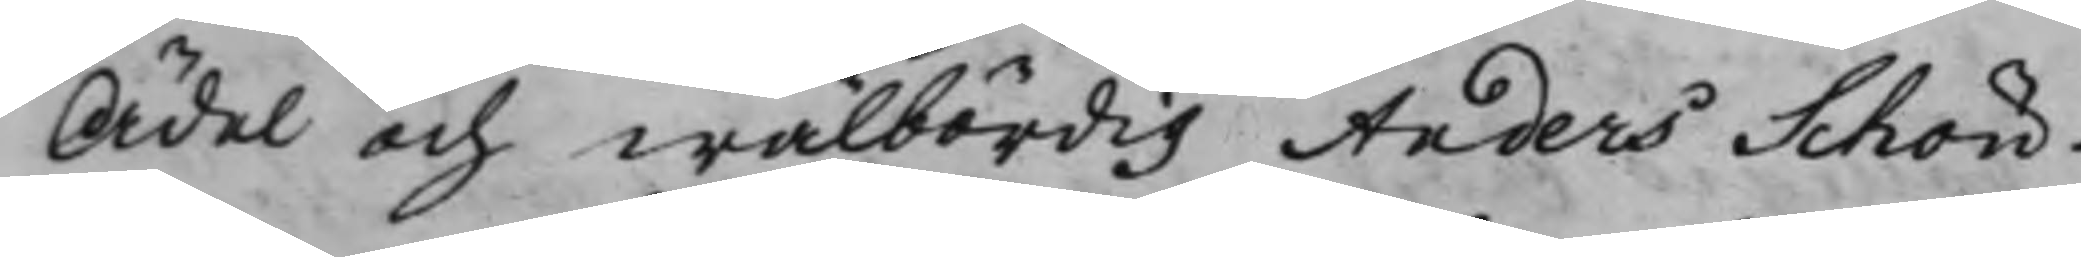Ädel och wälbördig Anders Schön¬
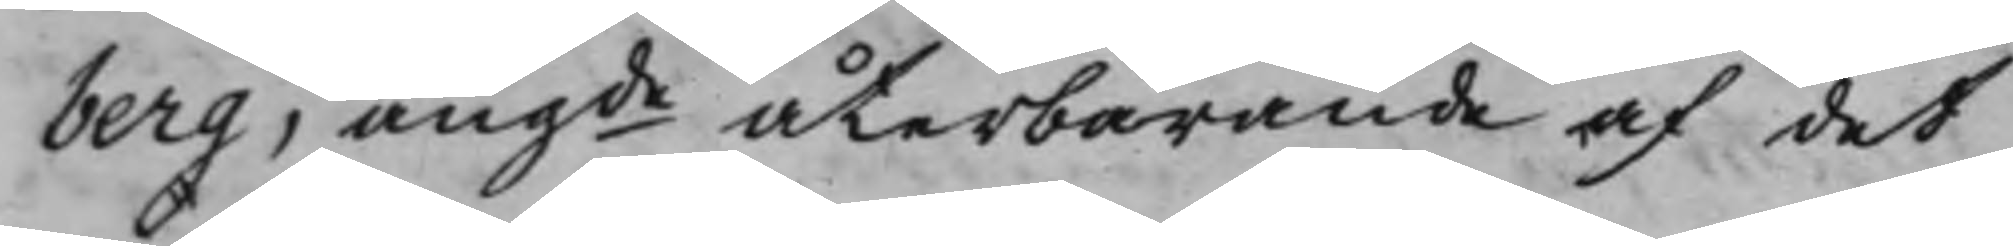berg, angde återbärande af det
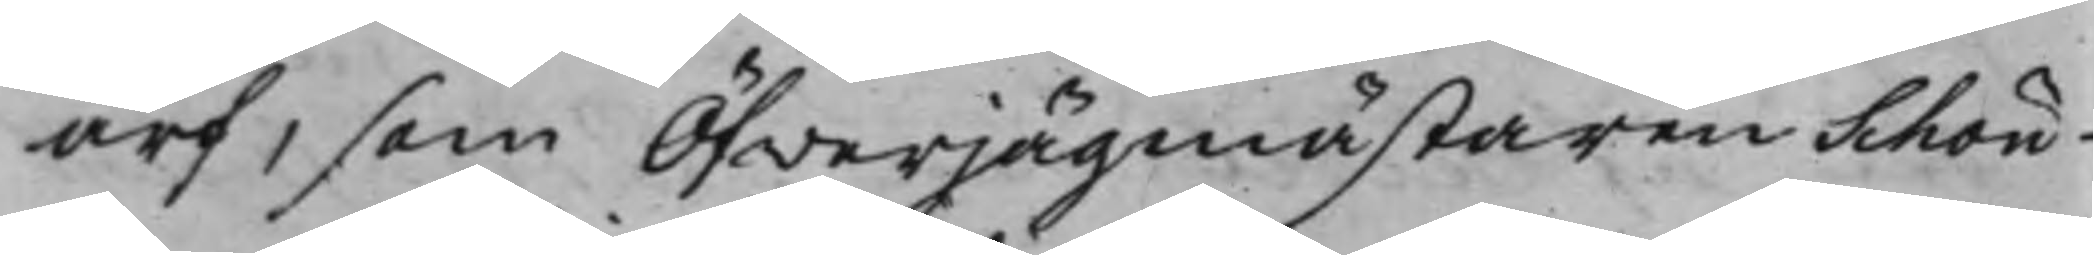arf, som ÖfwerJägmästaren Schön¬
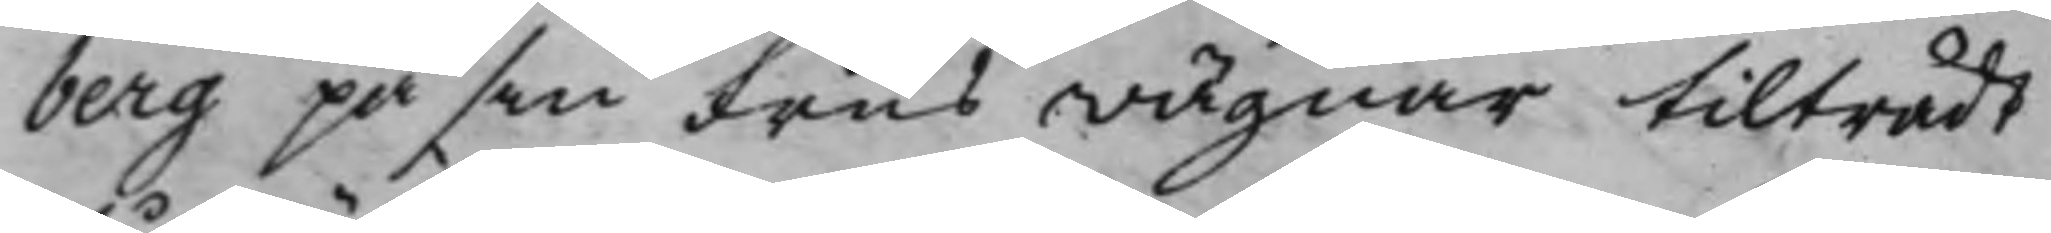berg på sin Frus wägnar tilträdt
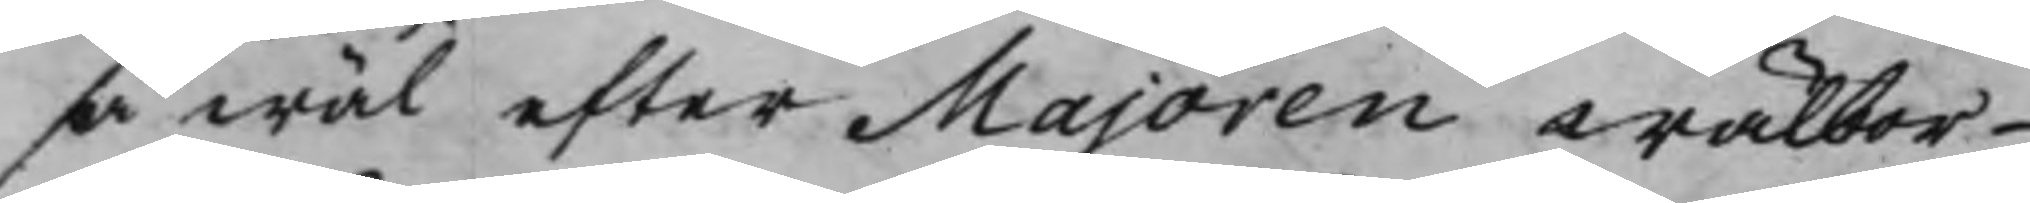så wäl efter Majoren Wälbor¬
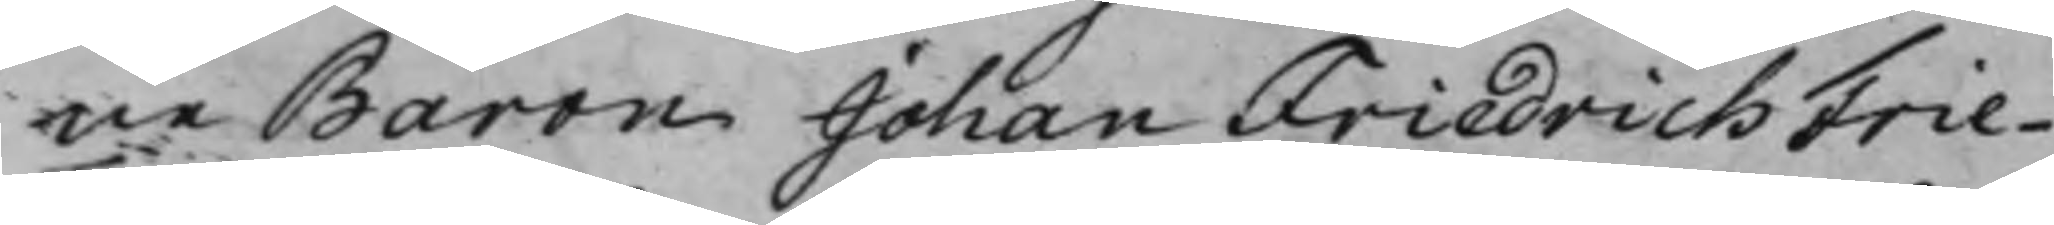ne Baron Johan Friedrich Frie¬
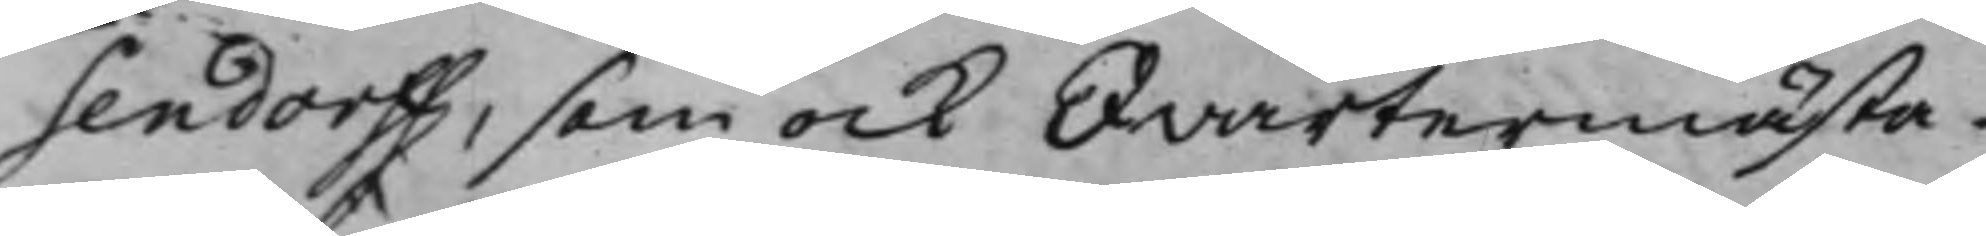sendorff, som ock Qvartermästa¬
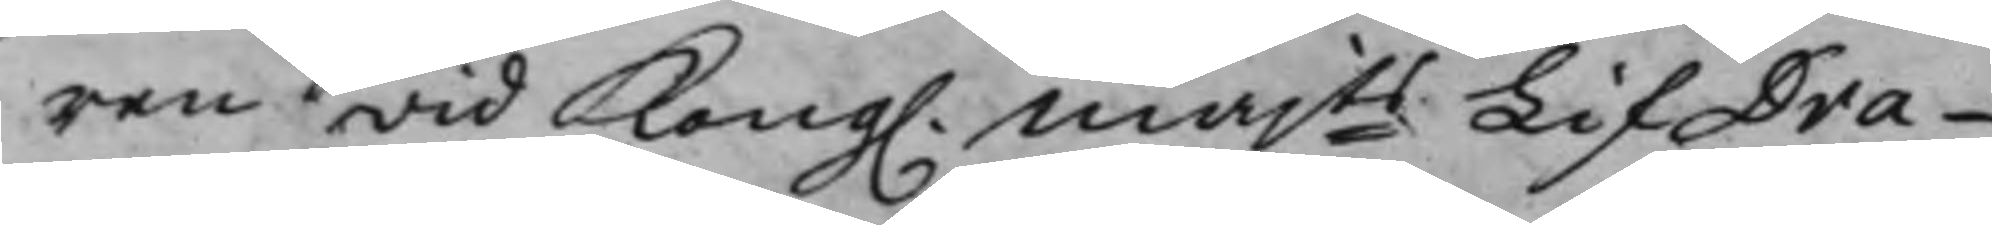ren wid Kong. Majts LifDra¬
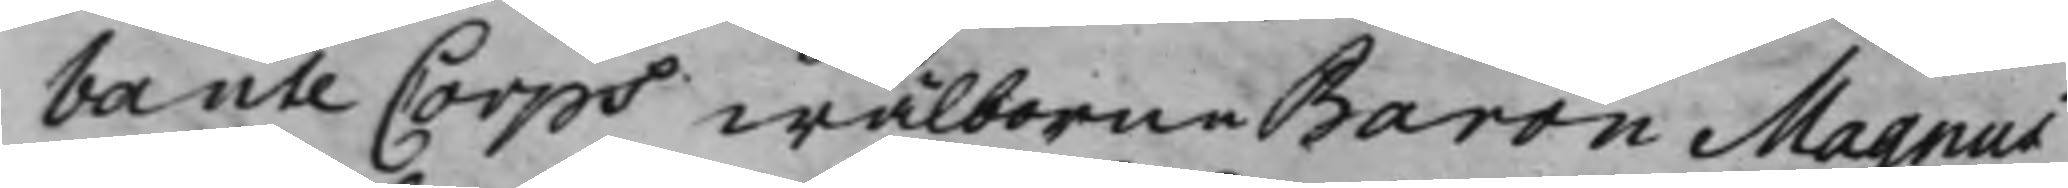bante Corps wälborne Baron Magnus
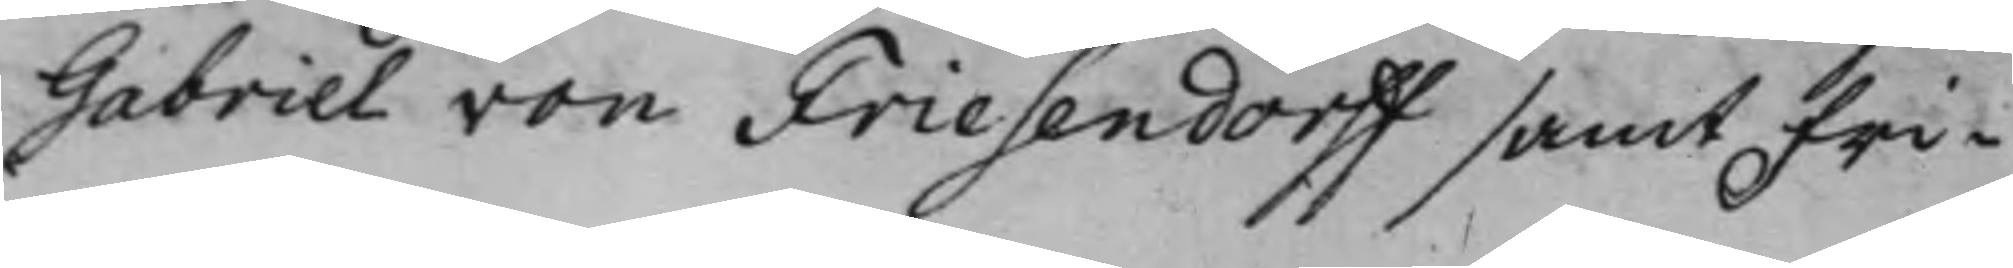Gabriel von Friesendorff samt Fri¬
